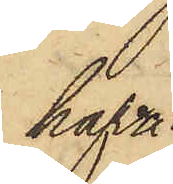hafva
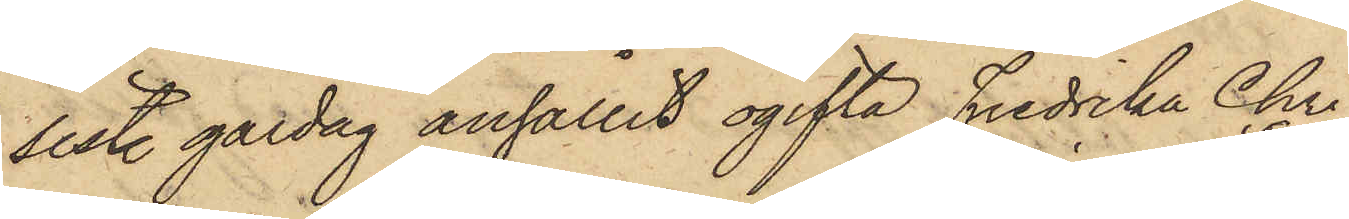sist. gårdag anhållit ogifta Fredrika Chri¬
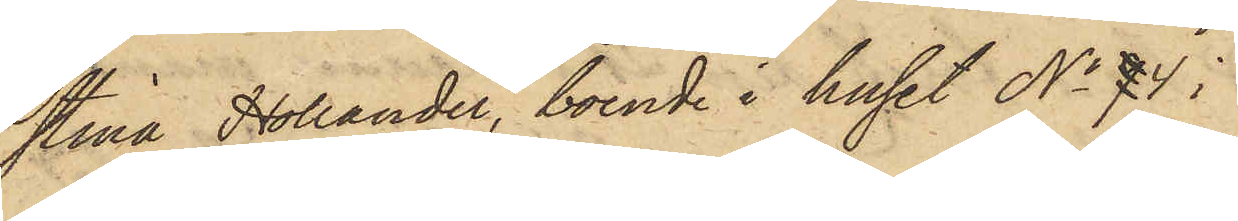stina Hollander, boende i huset No 9 4 i
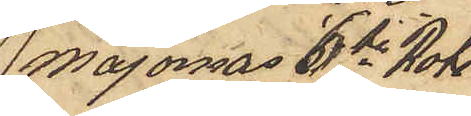Majornas 6te Rote
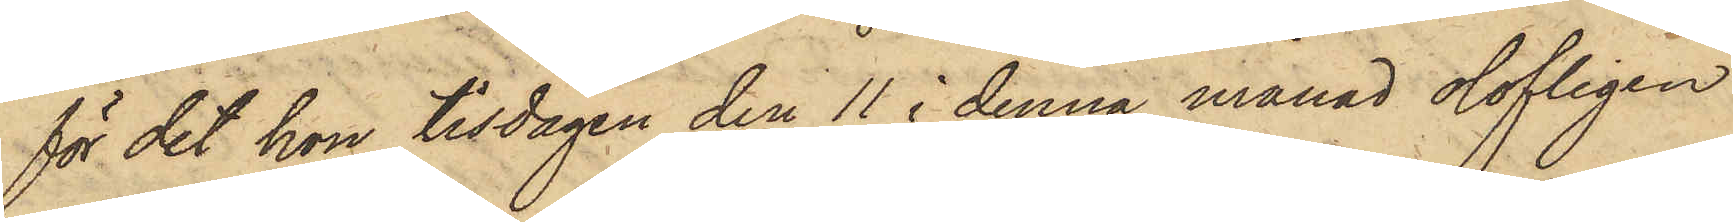för det hon tisdagen den 11 i denna månad olofligen
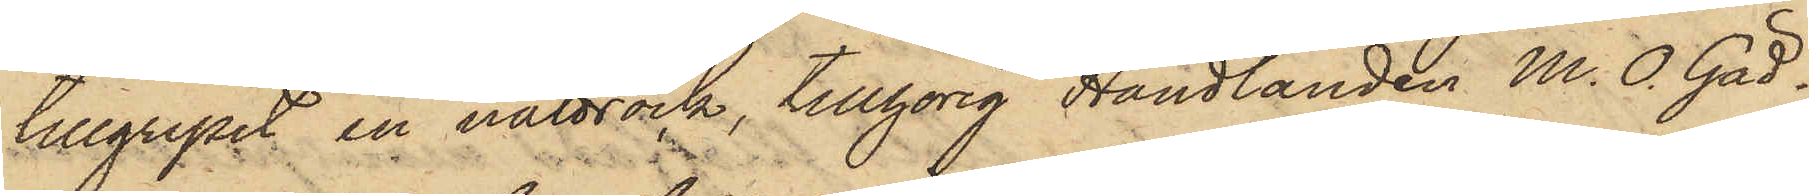tillgripit en nattrock, tillhörig Handlanden M. O. Gäd¬
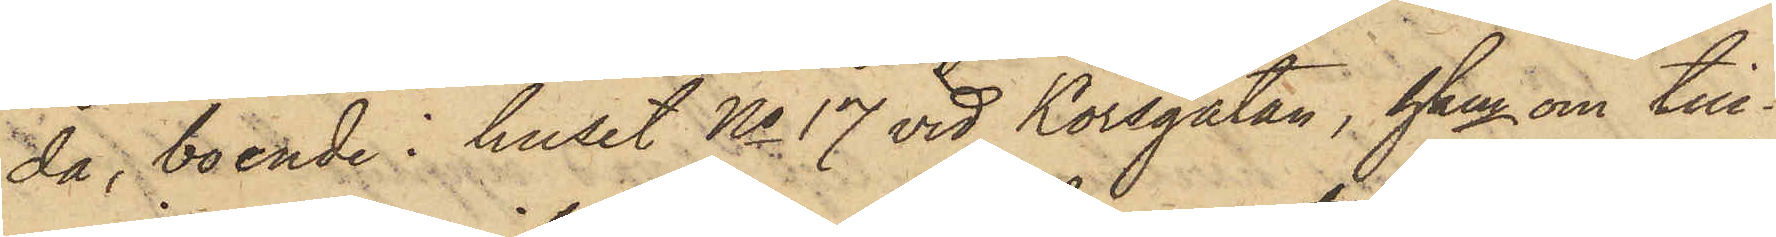da, boende i huset No 17 vid Korsgatan, hken om till¬
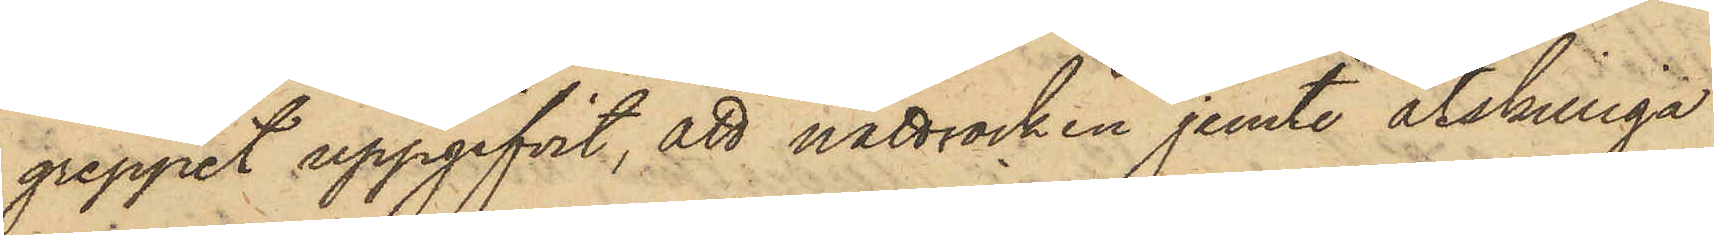greppet uppgifvit, att nattrocken jemte åtskilliga
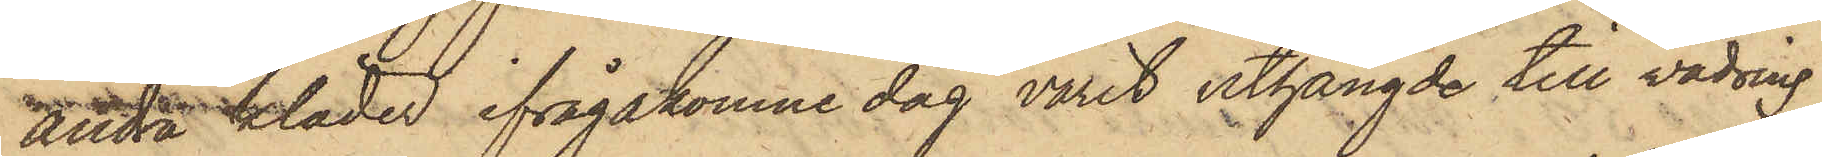andra kläder ifrågakomne dag varit uthängde till vädring
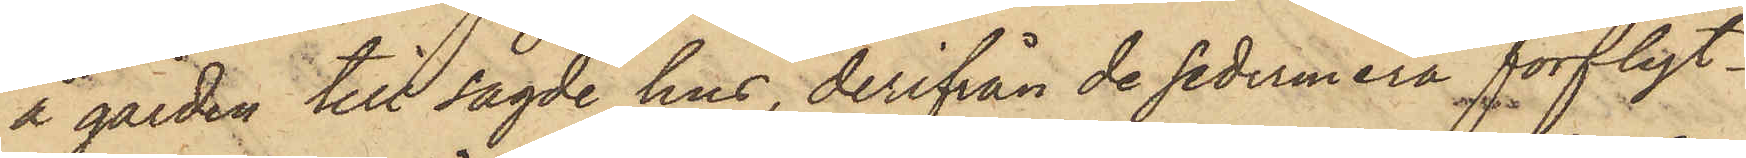å gården till sagde hus, derifrån de sedermera förflyt¬
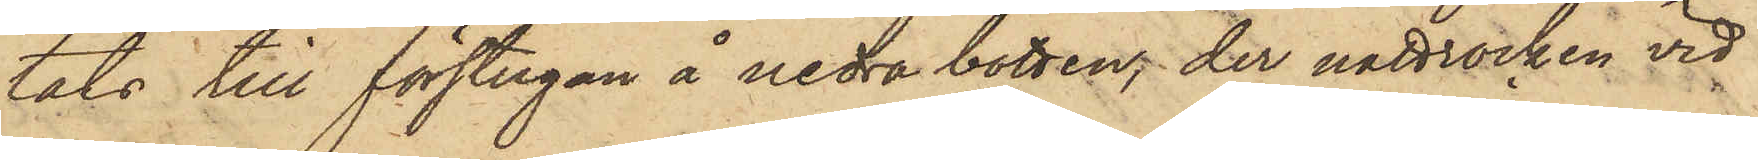tats till förstugan å nedra botten, der nattrocken vid
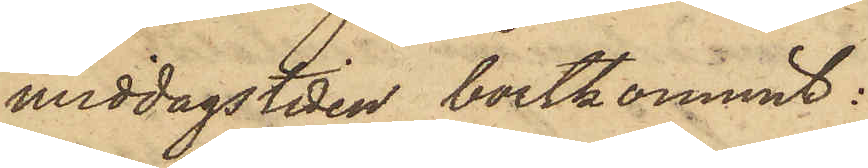middagstiden bortkommit:
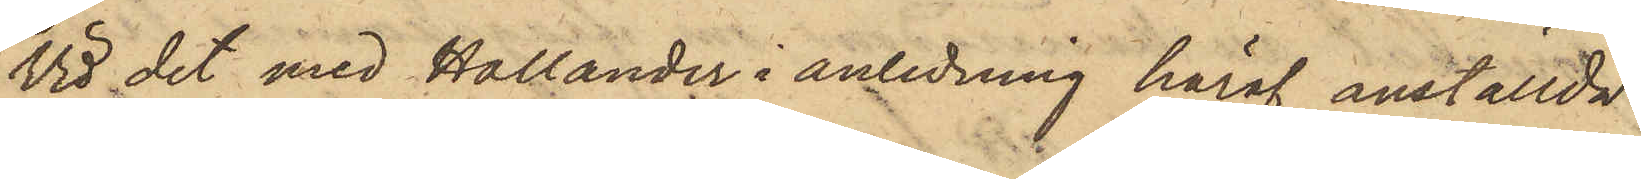Vid det med Hollander i anledning häraf anställda
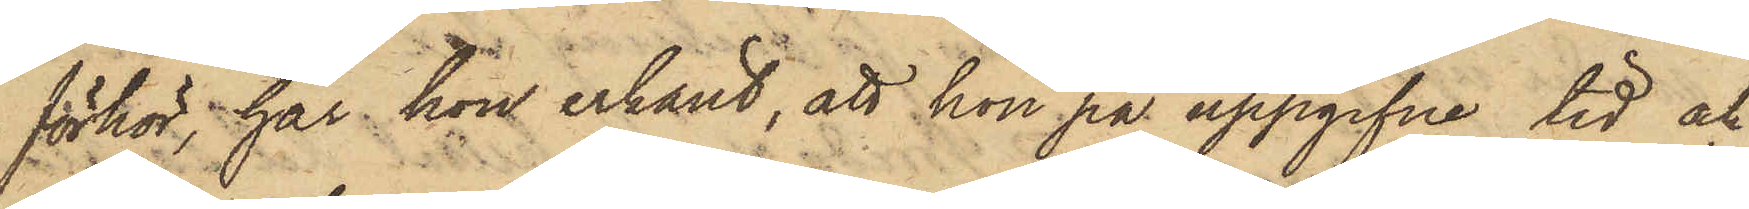förhör, har hon erkänt, att hon på uppgifne tid och
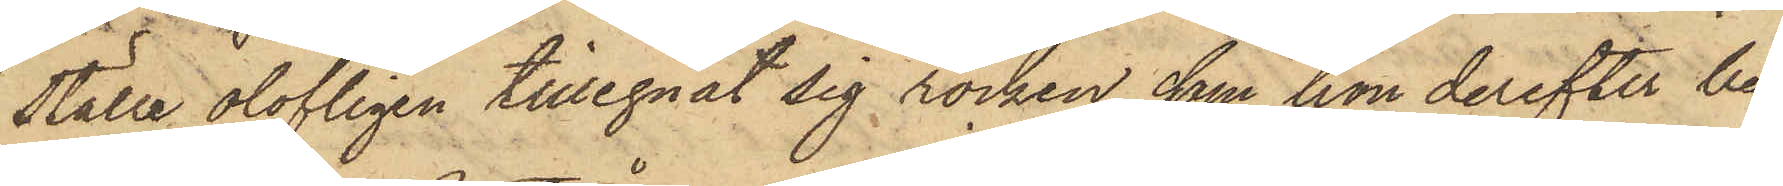ställe olofligen tillegnat sig rocken, som hon derefter be¬
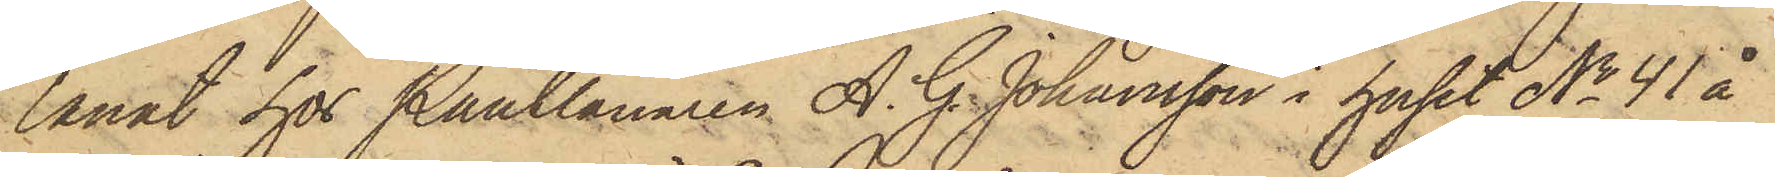lånat hos Pantlånaren A. G. Johansson i huset No 41 å
